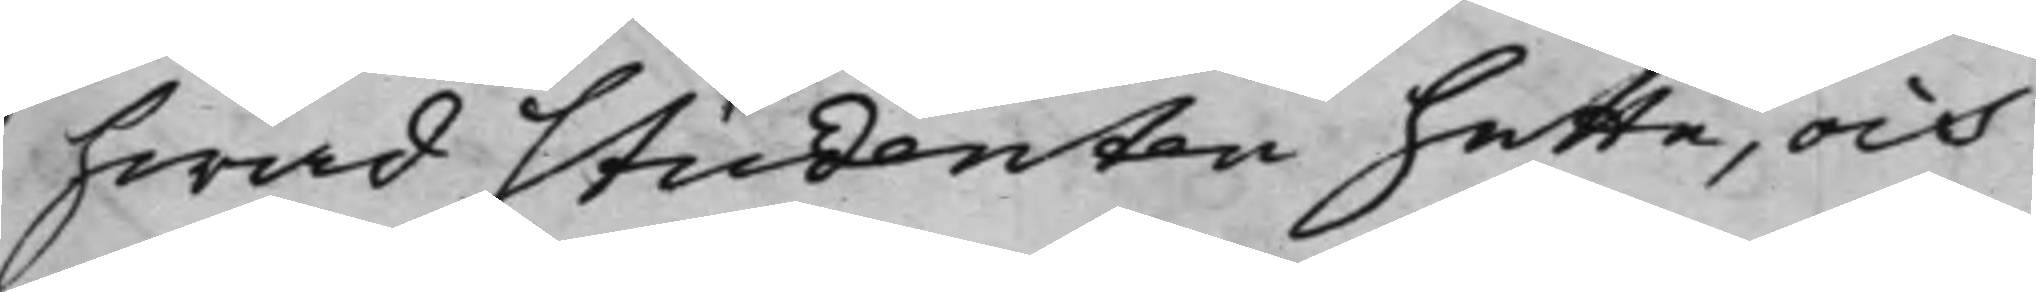hwad Studenten hette, och
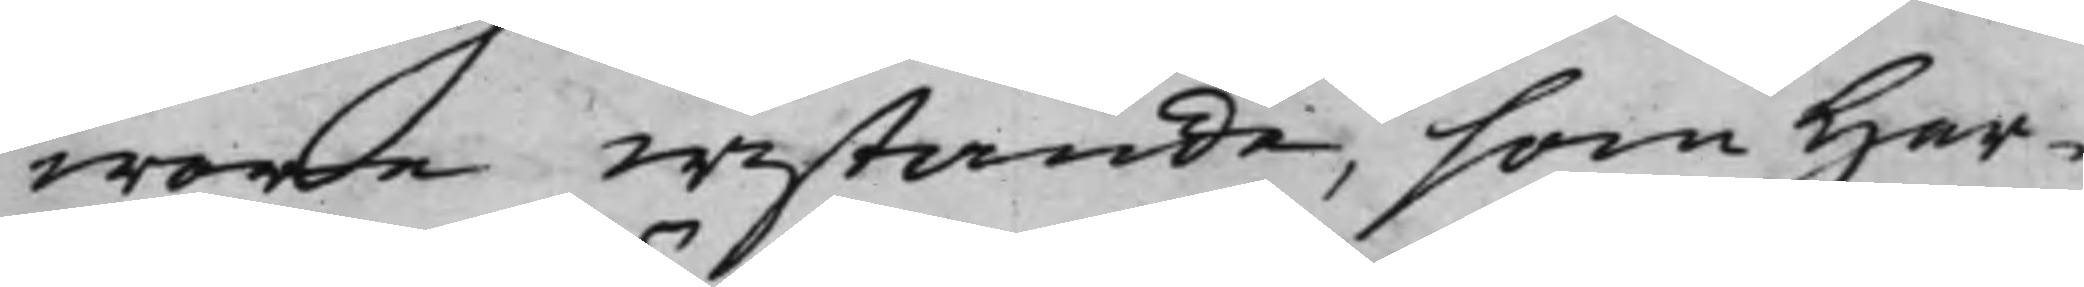wore wistande, som Her¬
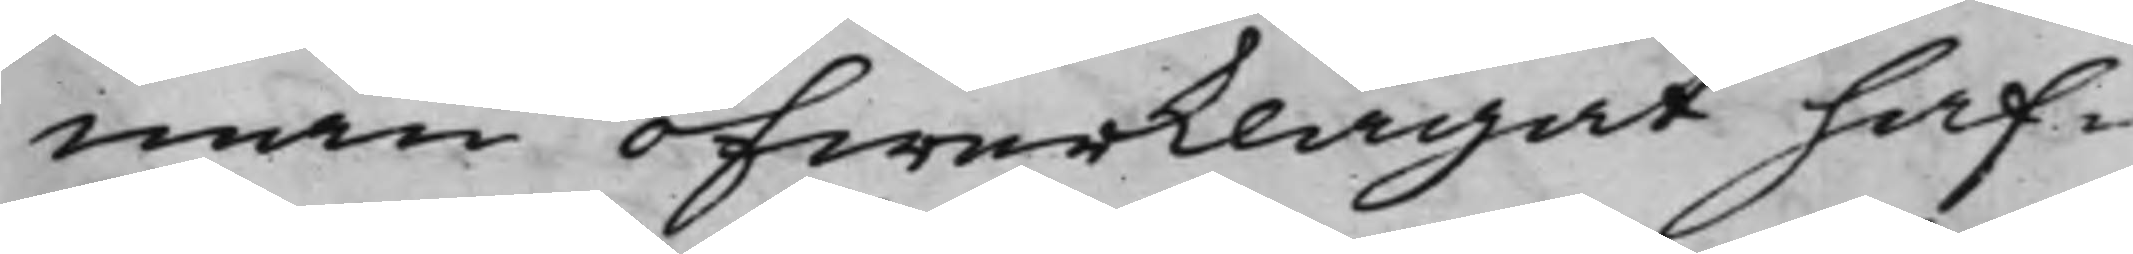man öfwerklagat haf¬
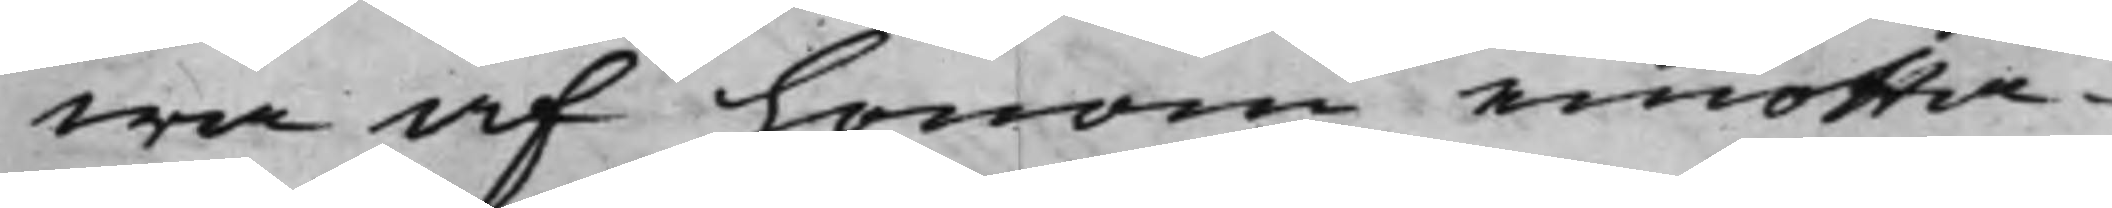wa af honom emotta¬
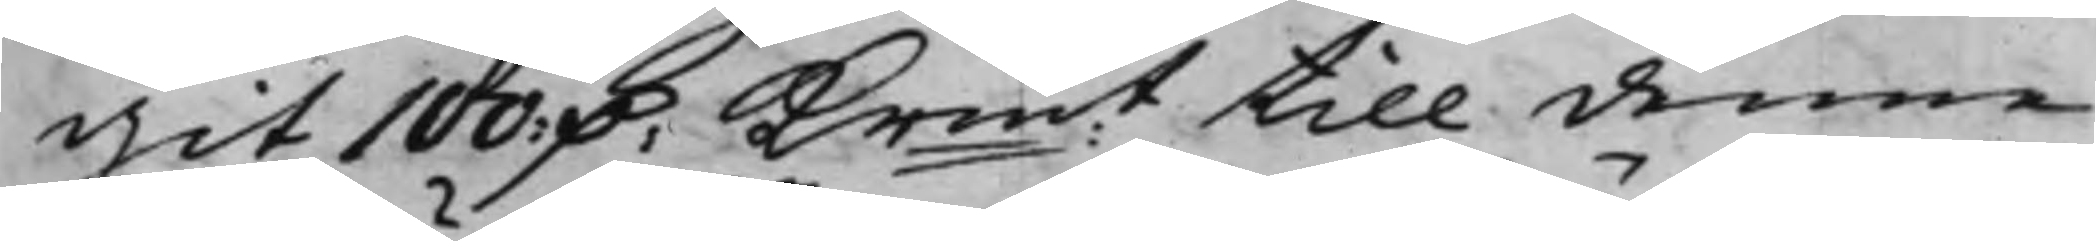git 100: D. Krmt till denne
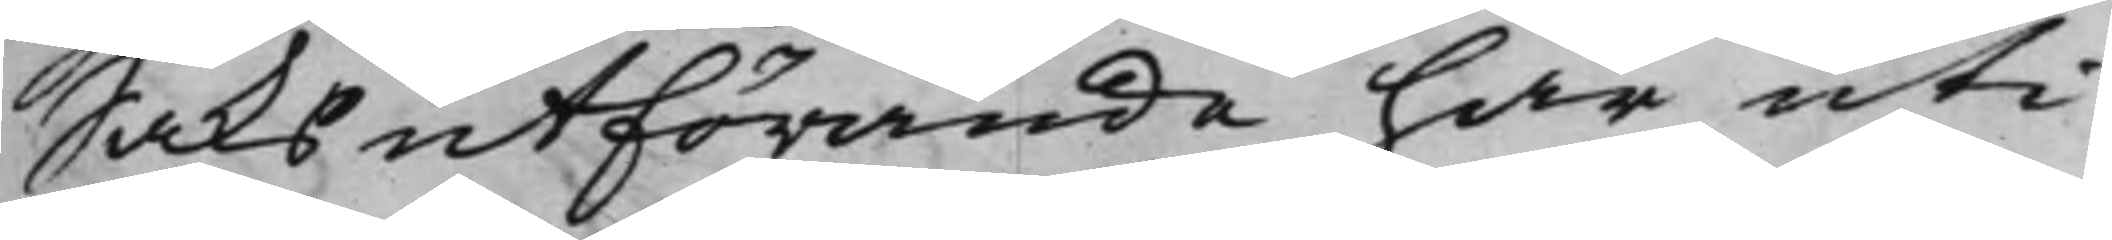Saks utförande här uti
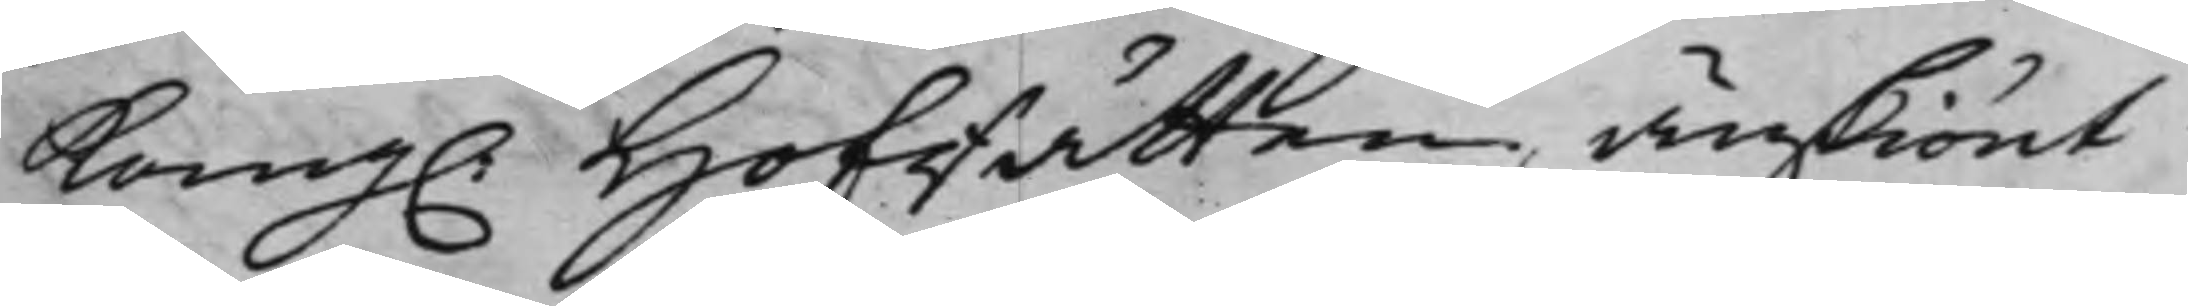Kong. HofRätten änskiönt
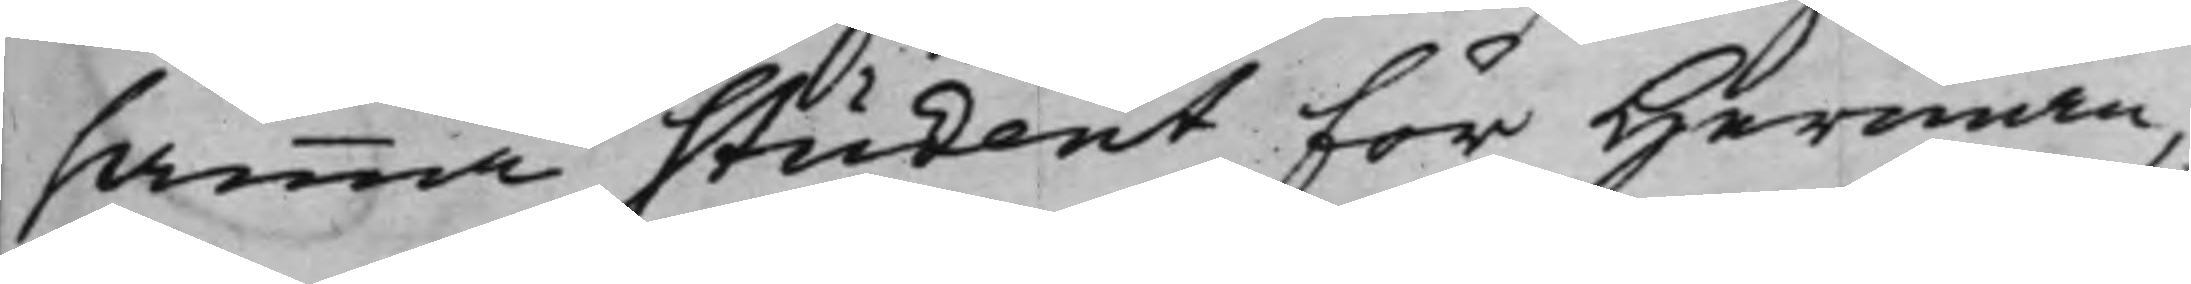samma Student för Herman,
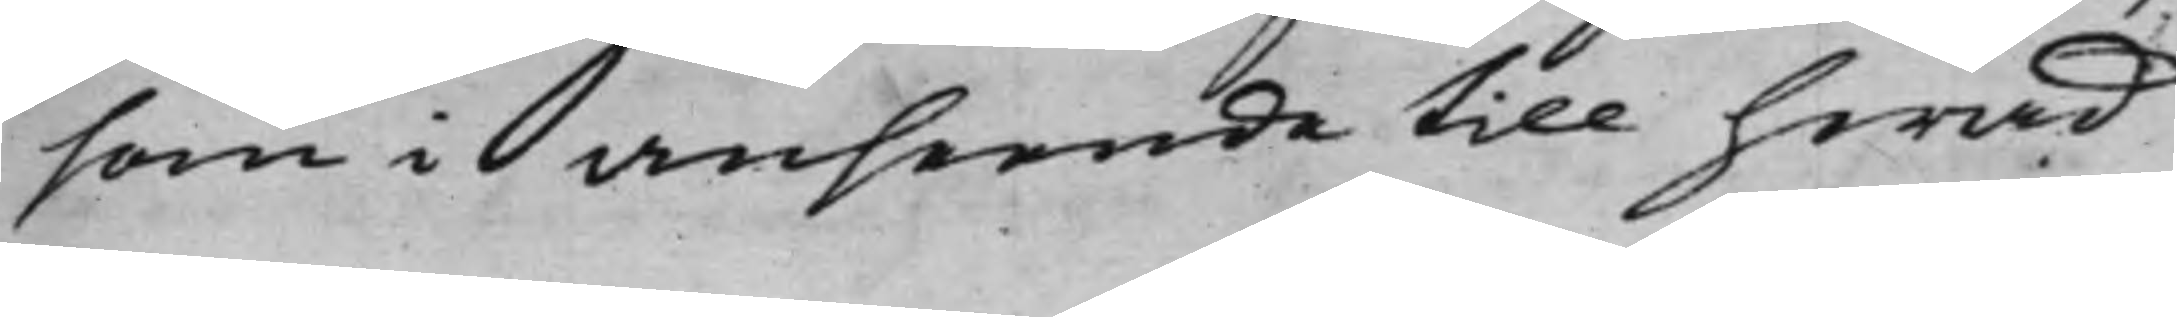som i anseende till hwad
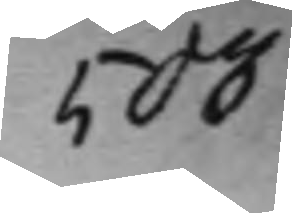503
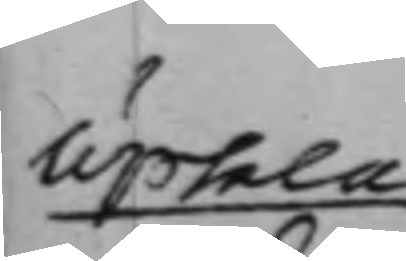Upsala
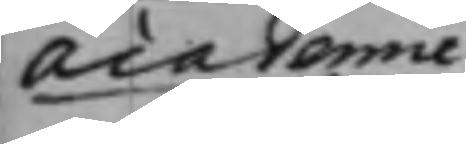Academie
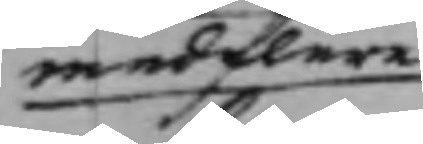med flere
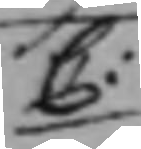C:
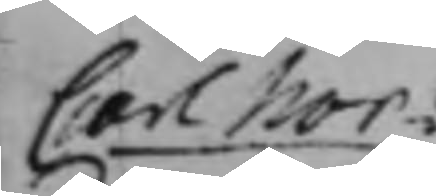Carl Nor¬
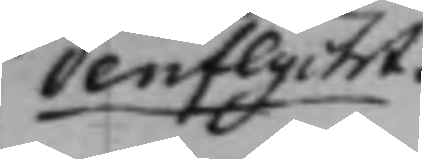denflycht.
